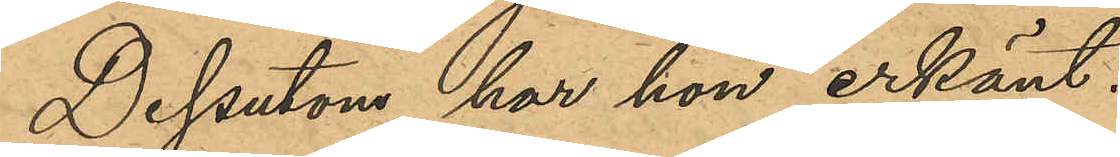Dessutom har hon erkänt:
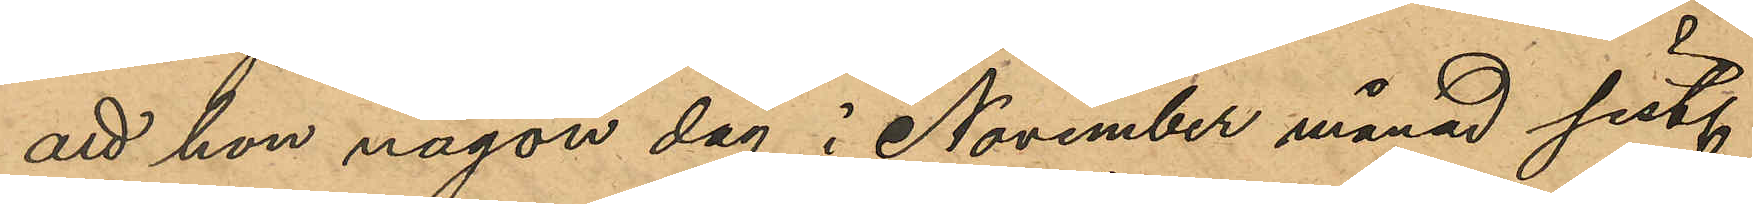att hon någon dag i November månad sist.
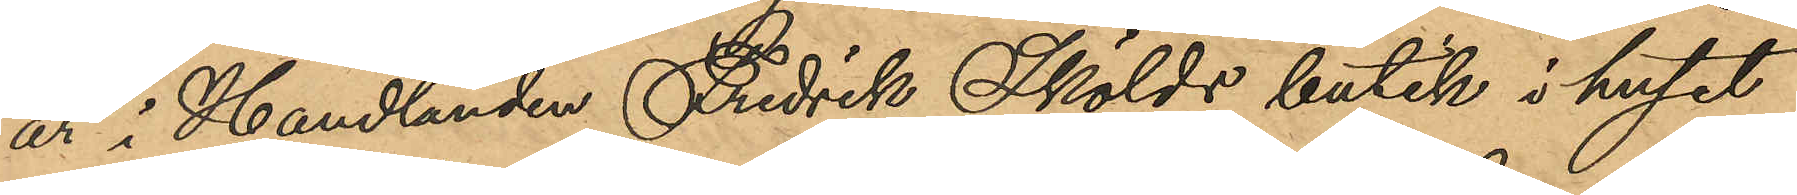år i Handlanden Fredrik Skölds butik i huset
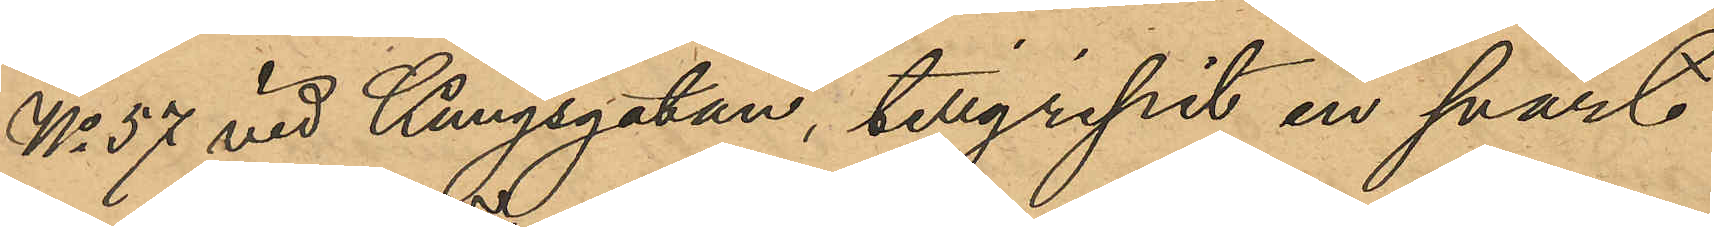No 57 vid Kungsgatan, tillgripit en svart
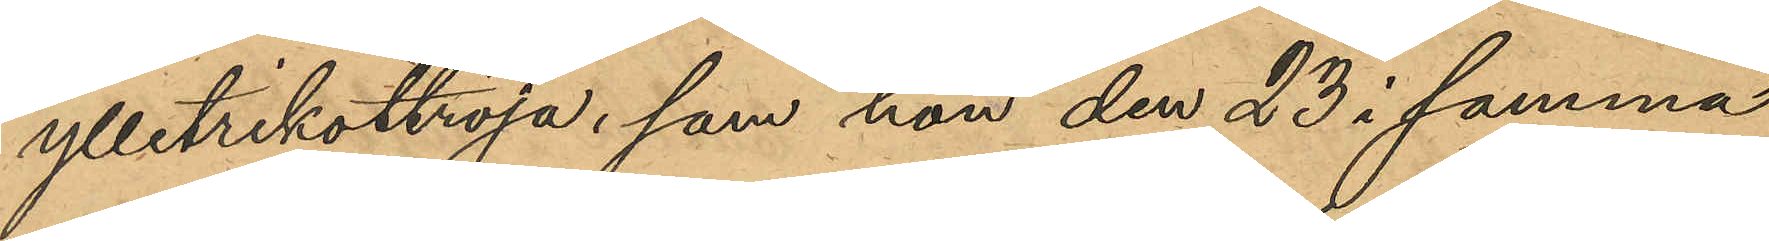ylletrikottröja, som hon den 23 i samma
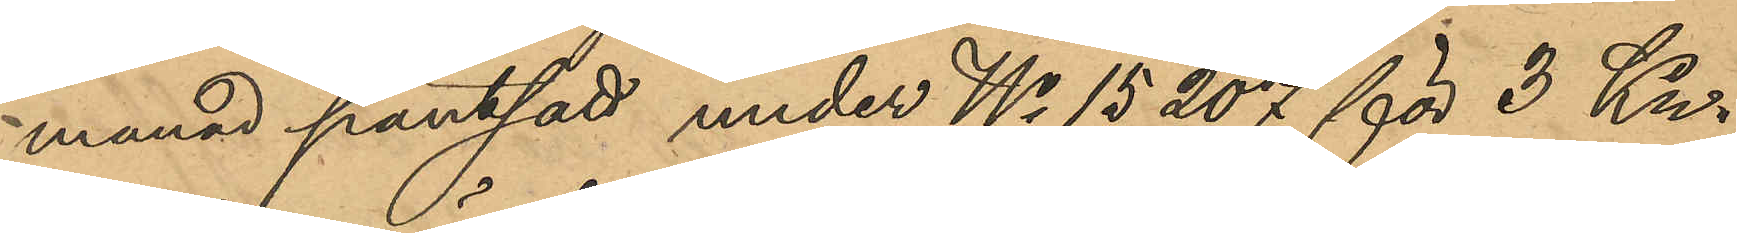manad pantsatt under No 15,207 för 3 Kr.
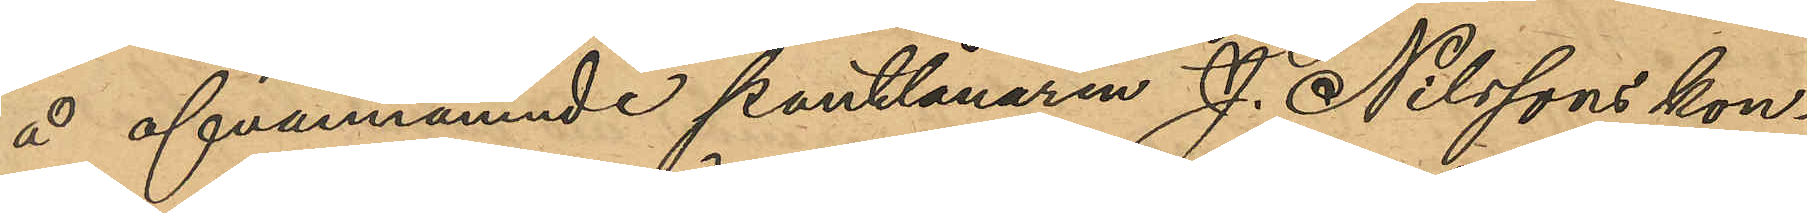å ofvannämnde pantlånaren J. Nilssons kon¬
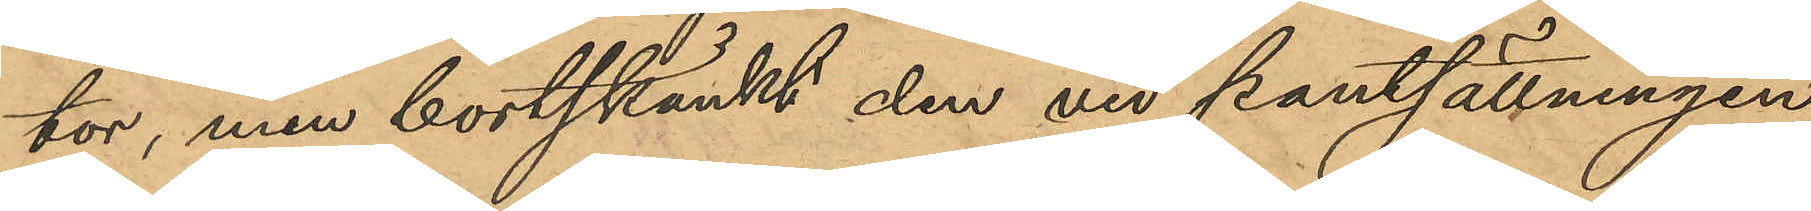tor, men bortskänkt den vid pantsättningen
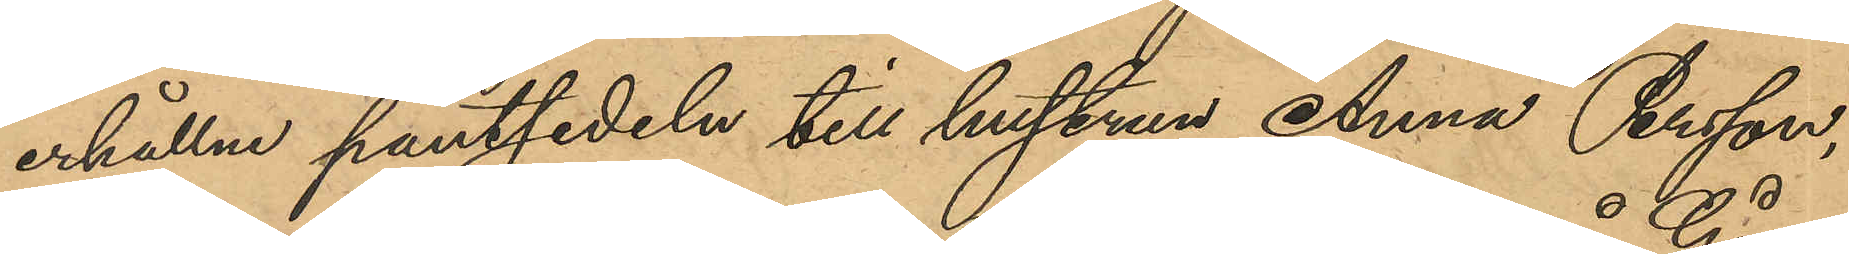erhållna pantsedeln till hustrun Anna Persson,
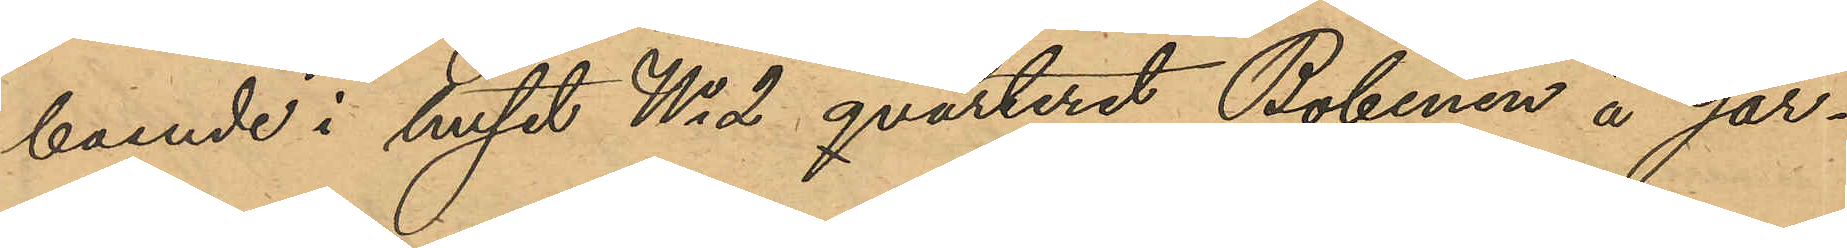boende i huset No 2 qvarteret Bobinen å Går¬
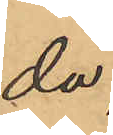da;
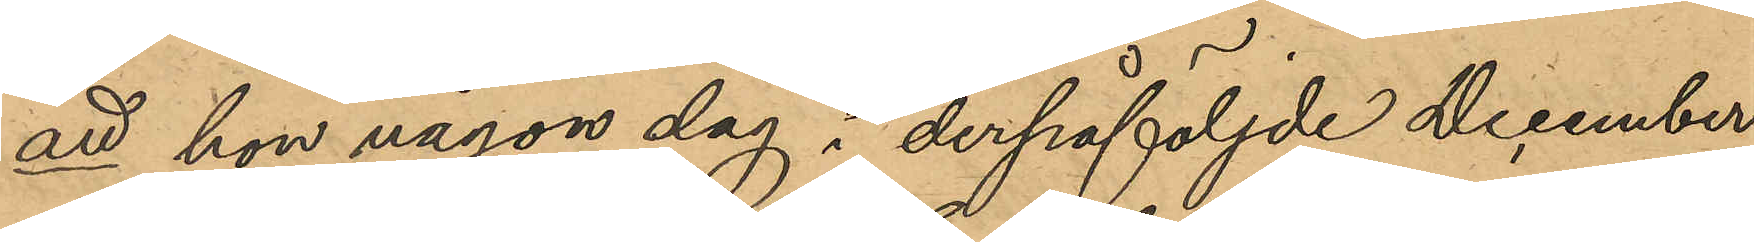att hon någon dag i derpåföljde December
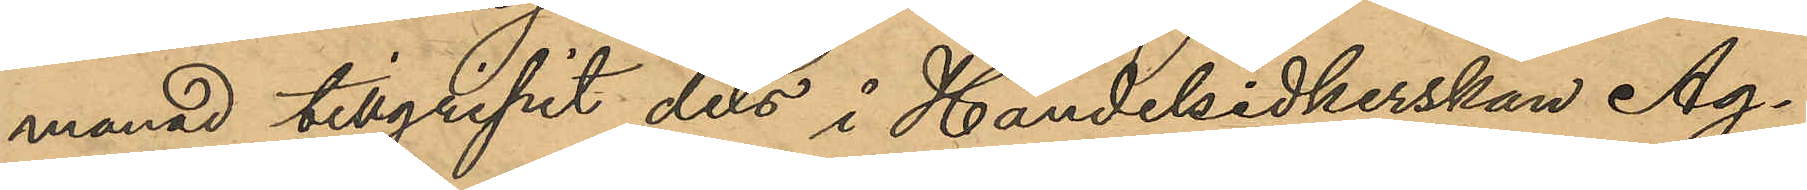manad tillgripit dels i Handelsidkerskan Ag¬
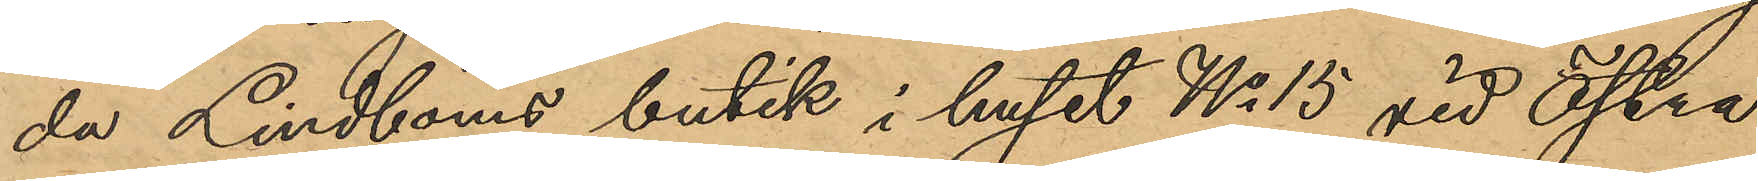da Lindboms butik i huset No 15 vid Östra
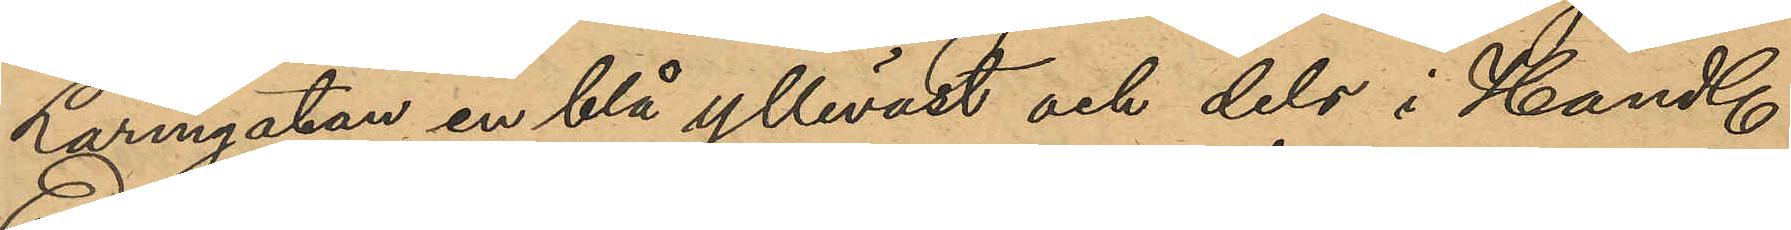Larmgatan en blå ylleväst och dels i Handl.
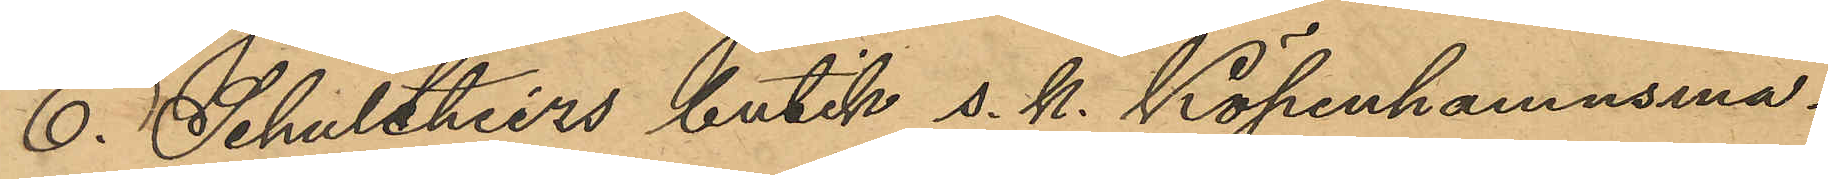E. Schultheizs butik s. k. Köpenhamnsma¬
